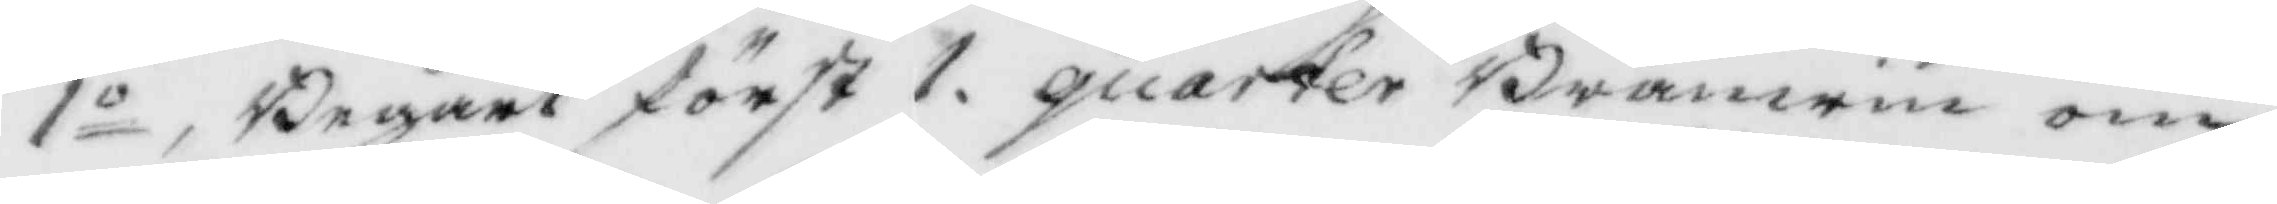1o, Begärt först 1 quarter Bränwin om
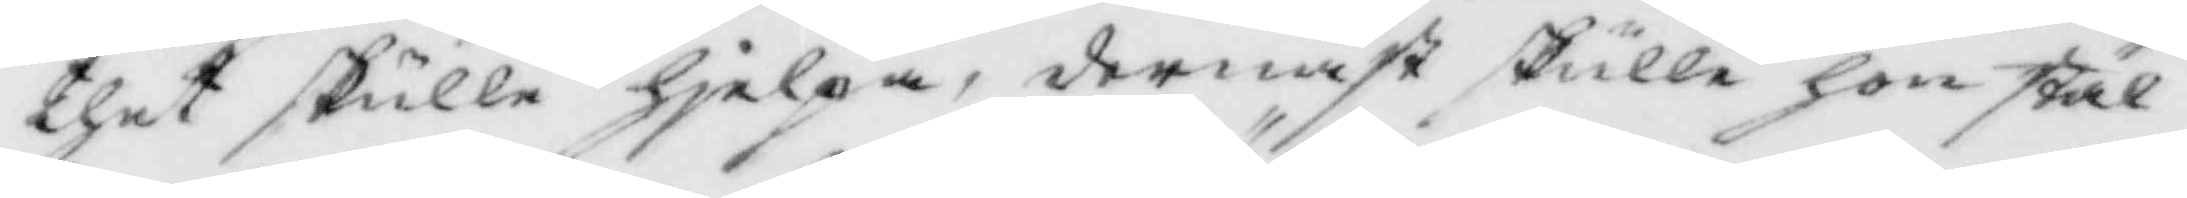thet skulle hjelpa, dernäst skulle hon stäl¬
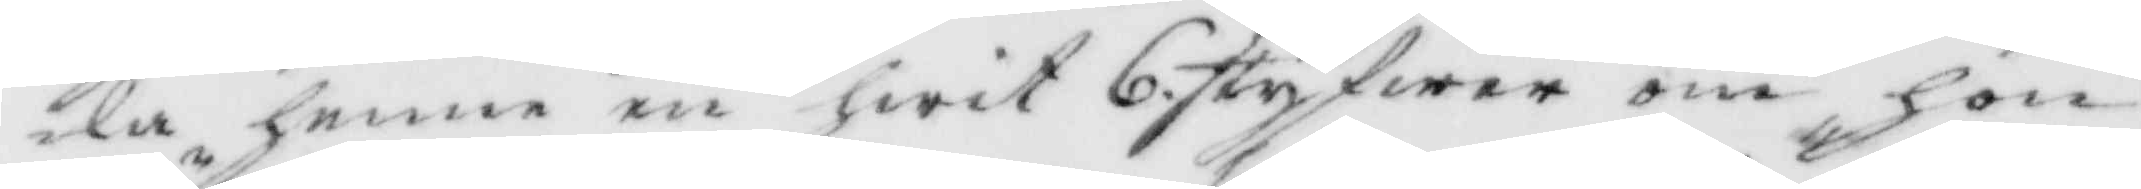la henne en hwit 6. styfwer om hon
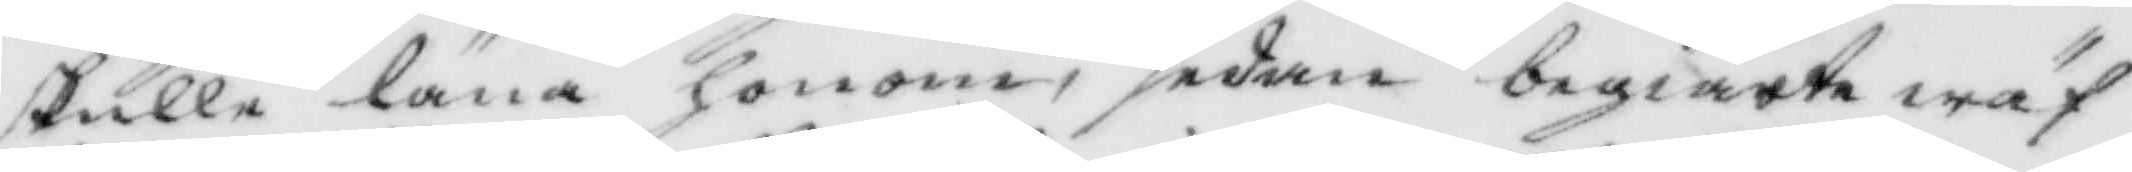skulle läna honom, sedan begiärte wäf
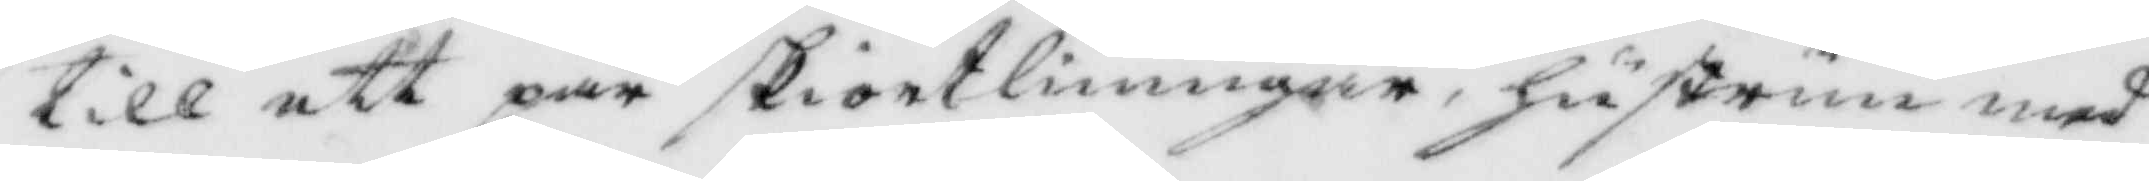till ett par skiortlinningar, hustrun med
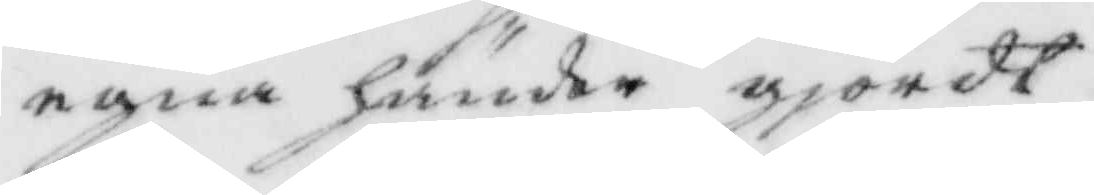egna händer gjordt.
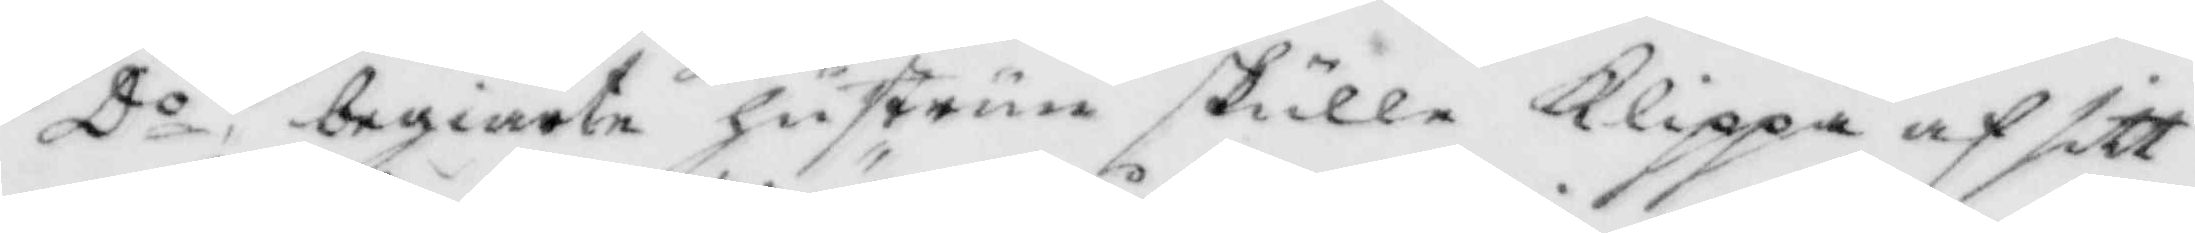Do, begiärte hustrun  skulle Klippa af sitt
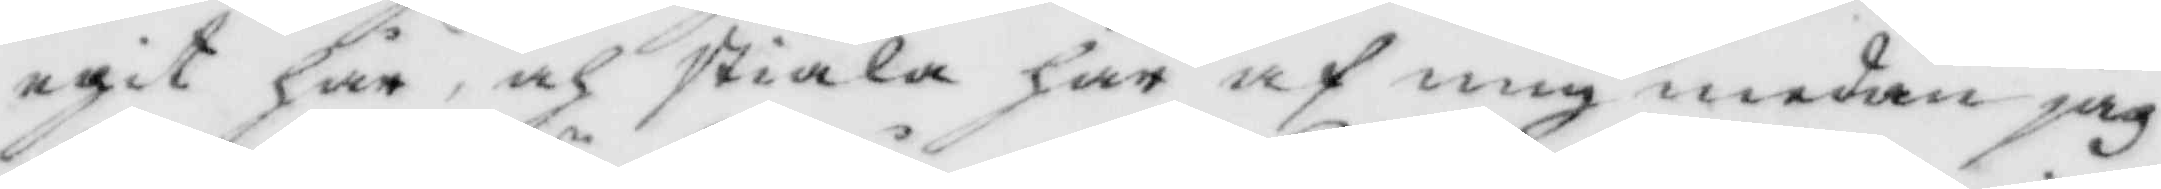egit hår, och stiäla hår af mig medan jag
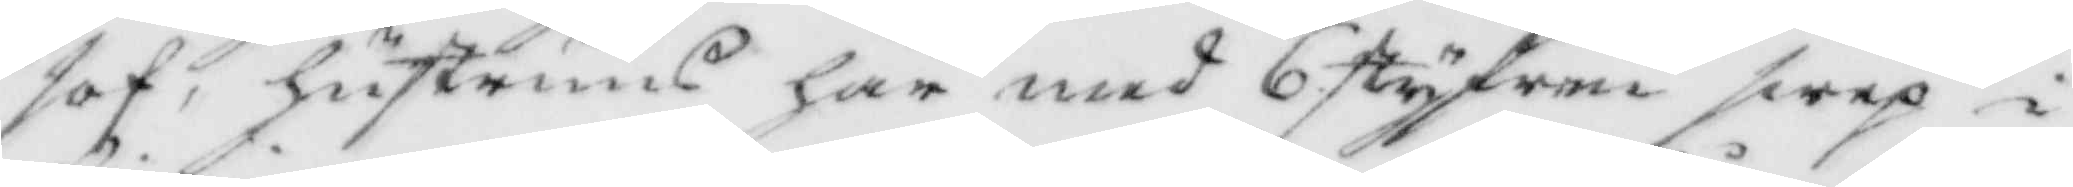sof, hustruns hår med 6 stycken swep i
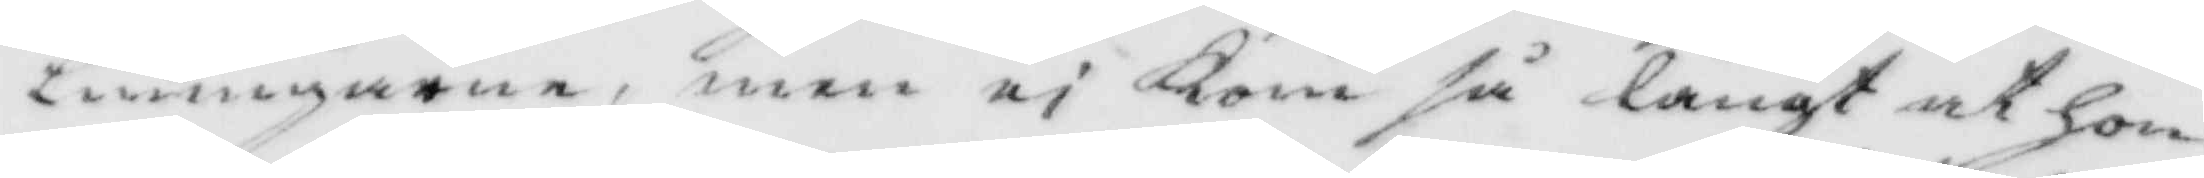linningarne, men ei Kom så långt at hon
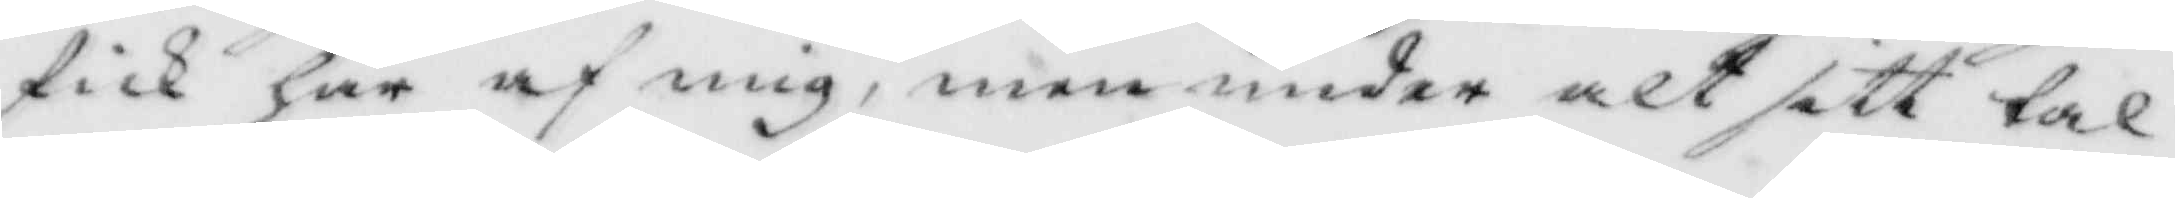fick hår af mig, men under alt sitt tal
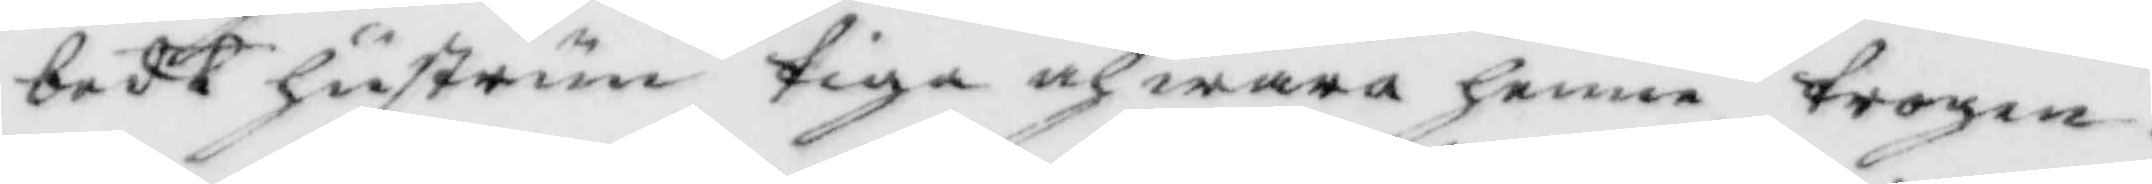bedt hustrun tiga och wara henne trogen.
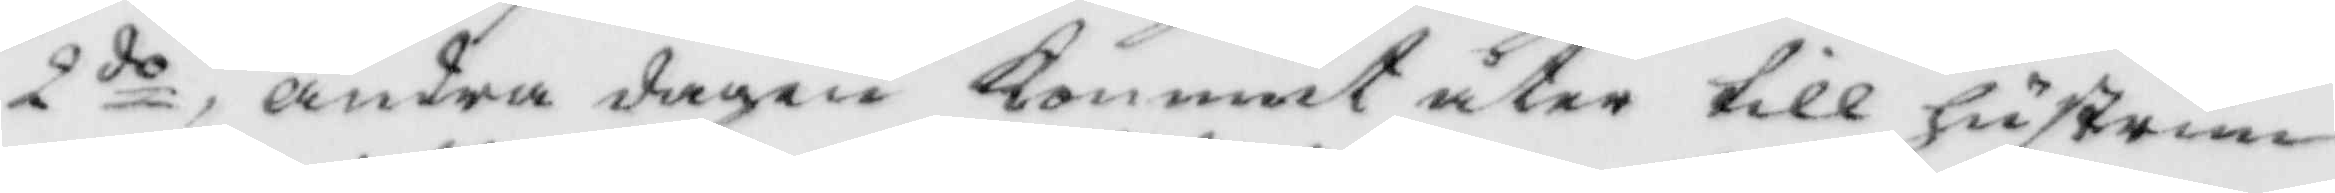2do, andra dagen Kommit åter till hustrun
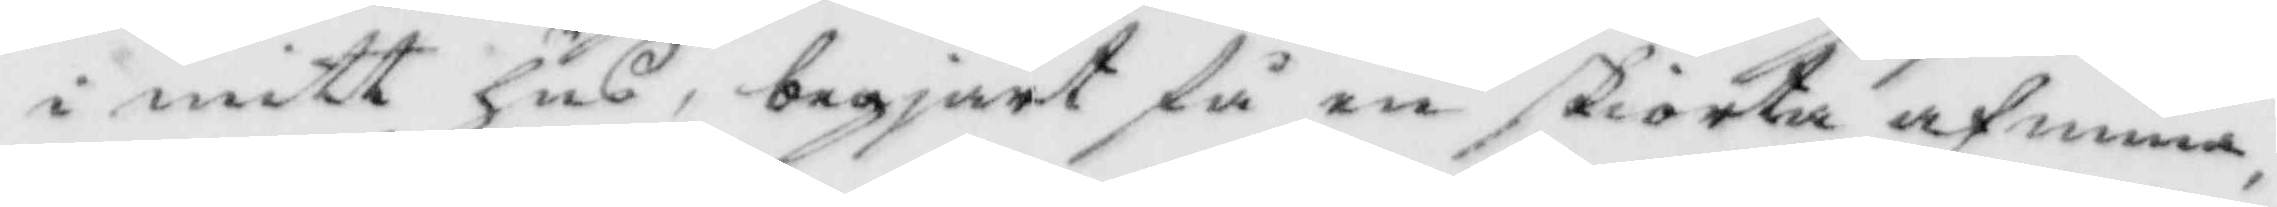i mitt hus, begjärt få en skiorta af mina, 
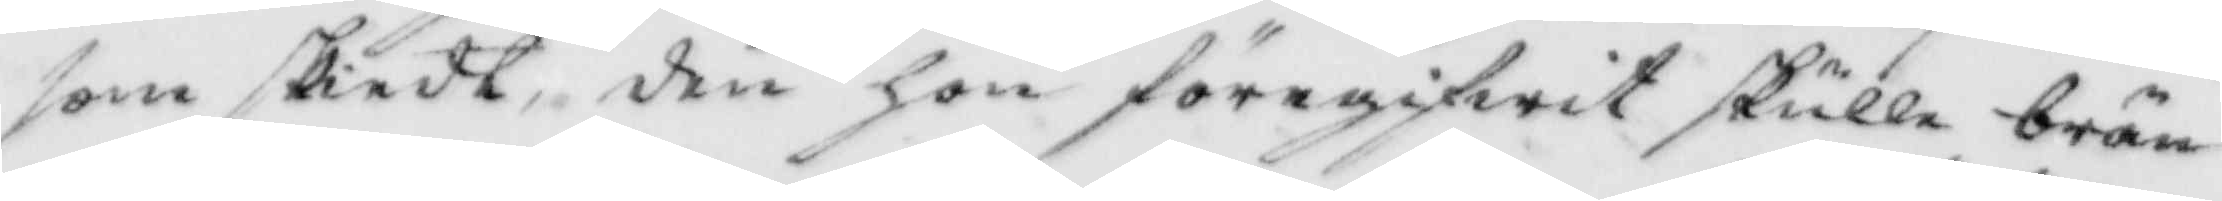som skiedt, den hon föregifwit skulle brän¬
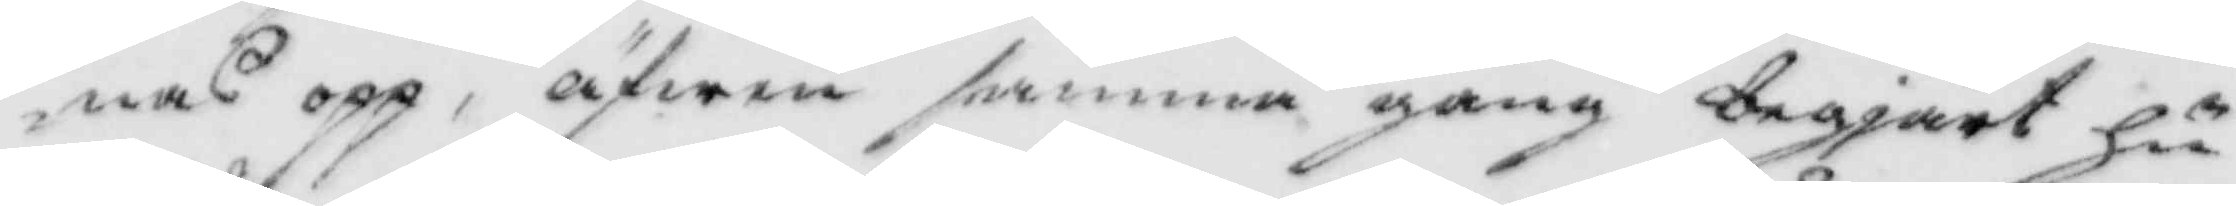nas opp, äfwen samma gång begiärt hu¬
